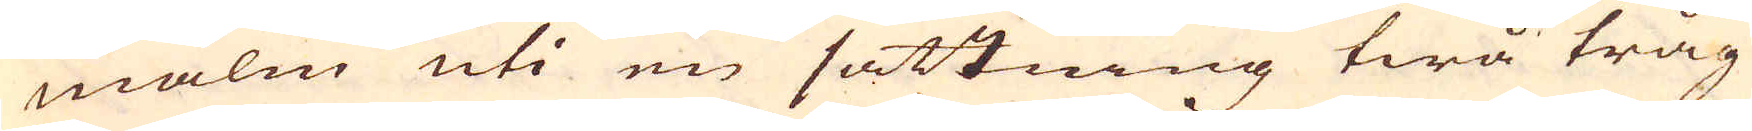malm uti en sättning twå tråg
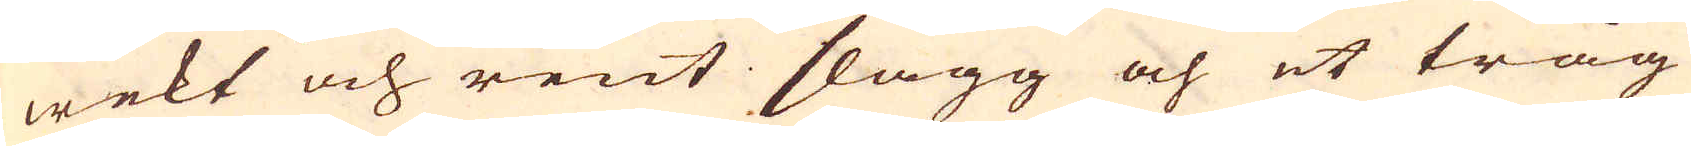wekt och rent slagg och et tråg
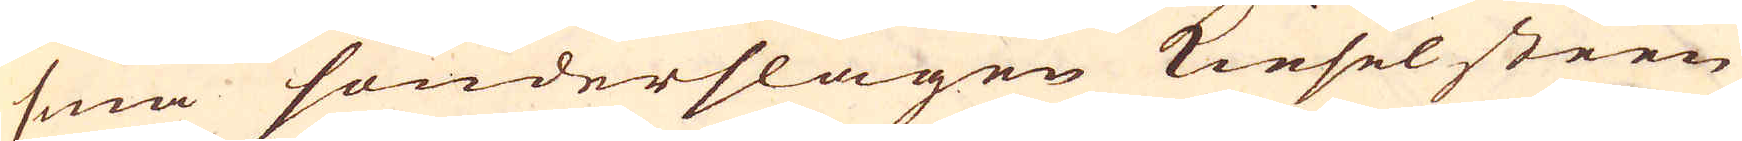små sönderslagen Kieselsteen
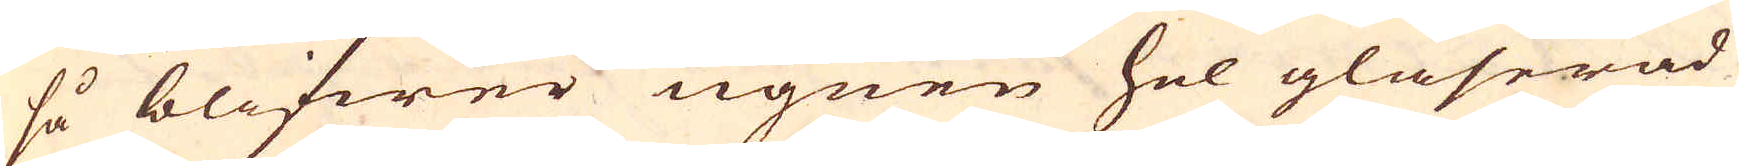så blifwer ugnen hel glaserad
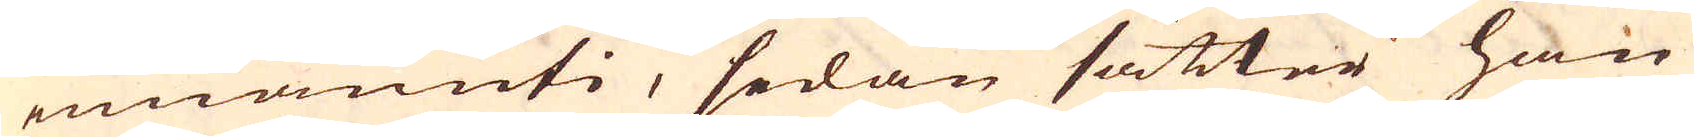innanuti, sedan sätter han
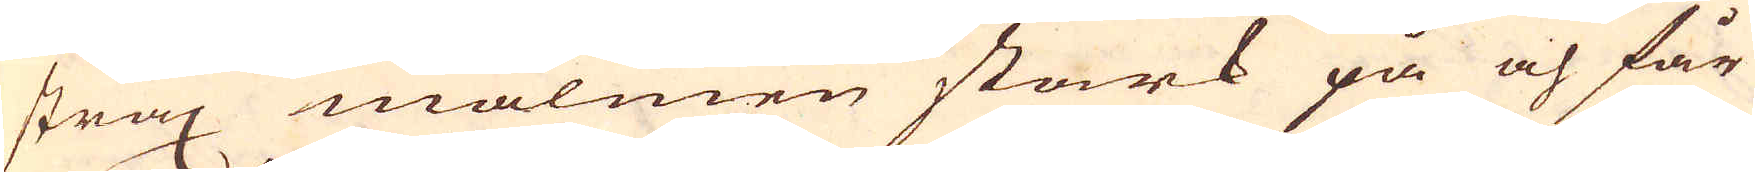strax malmen stark på och får
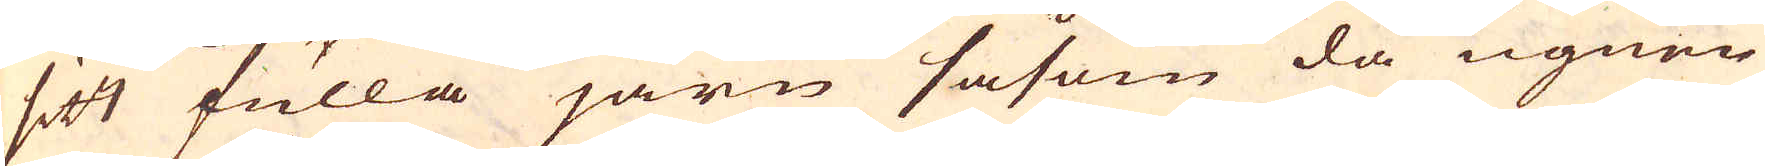sitt fulla järn såsom då ugnen
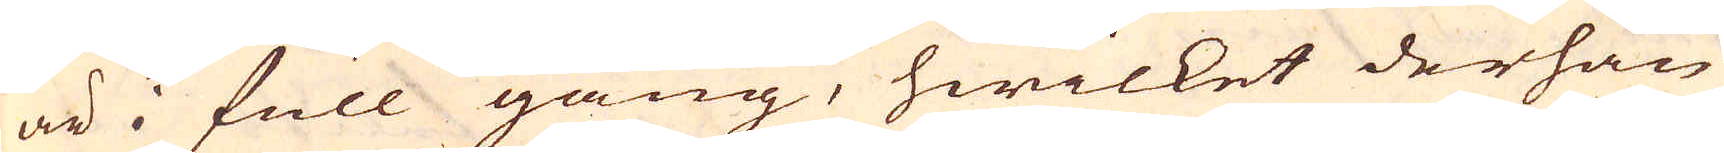är i full gång, hwilket derhän
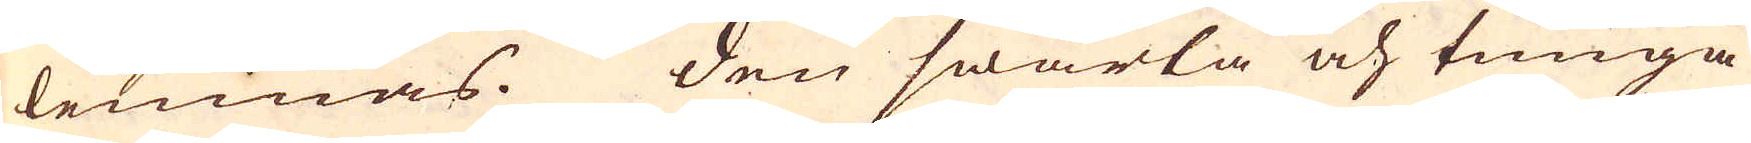lemnas. Den swärta och tunga
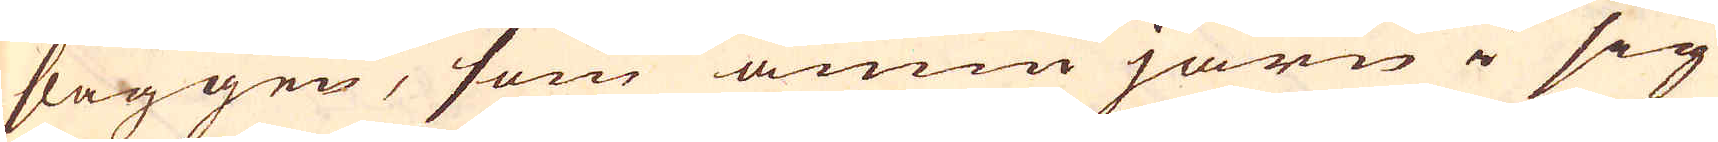slaggen, som ännnu järn i sig
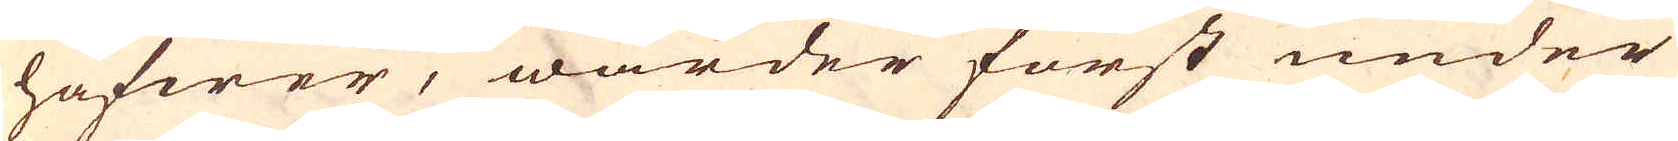hafwer, warder först under
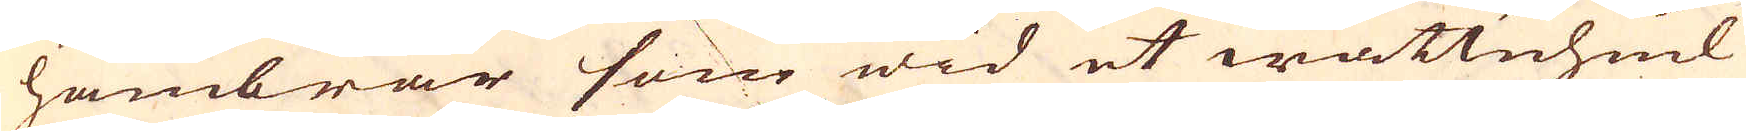hambrar som wid et wattnhiul
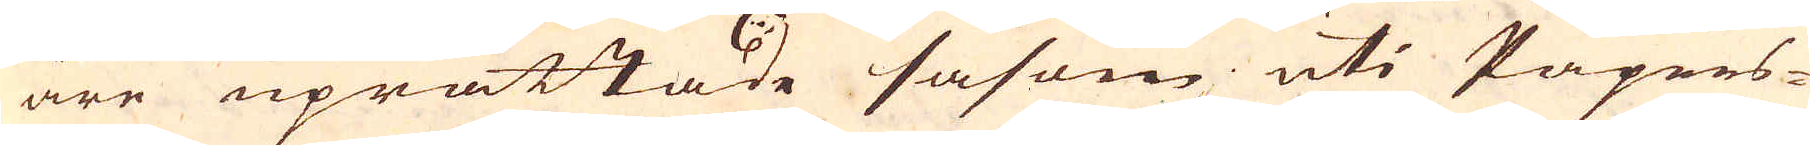äre uprättade såsom uti Papers-
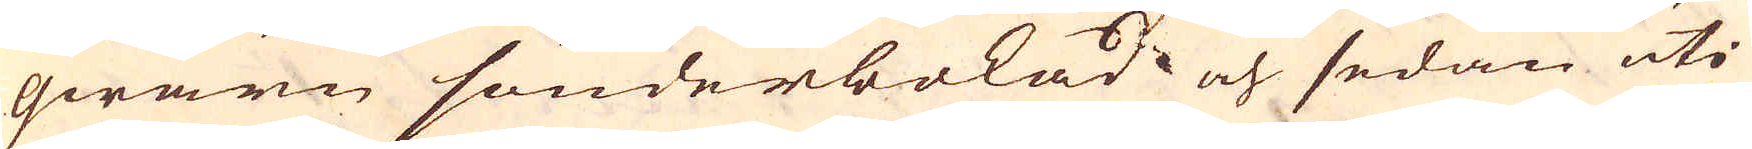qwarn sönderbokad och sedan uti
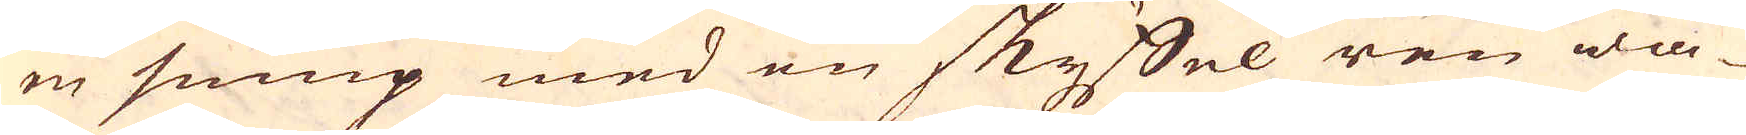en sump med en skyffel ren wa-
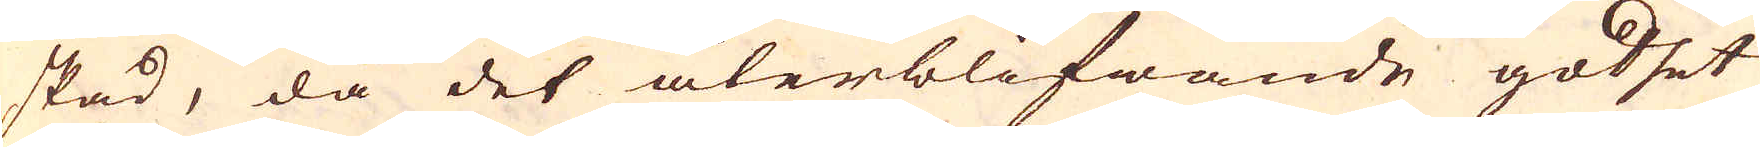skad, då det återblifwande godset
